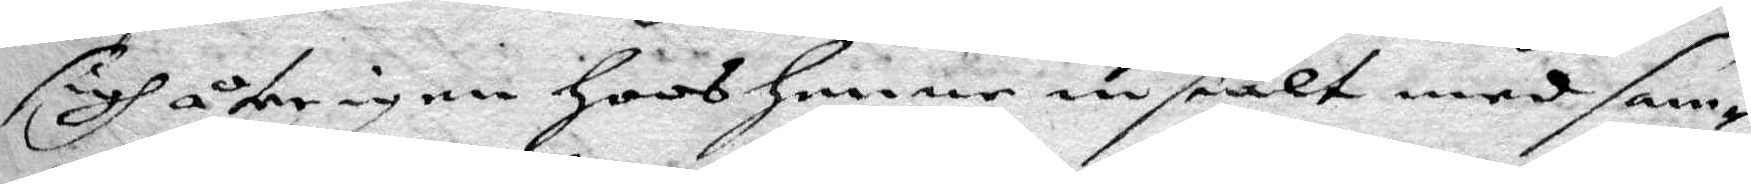sigh åter igen hoos henne instält med sam¬
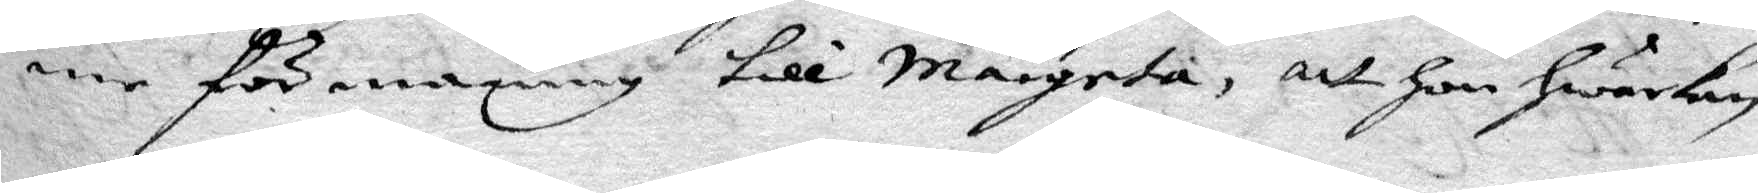me förmaning till margeta, att hon hwarken
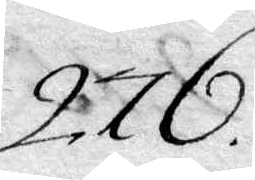276.
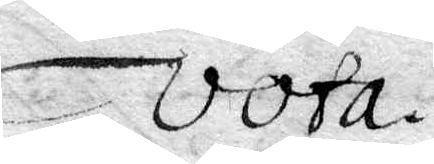vota.
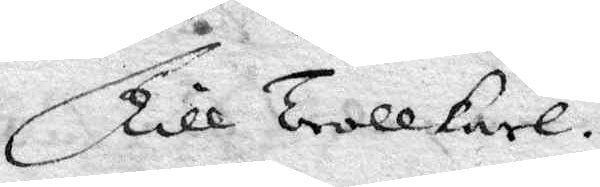Till Trollkarl.
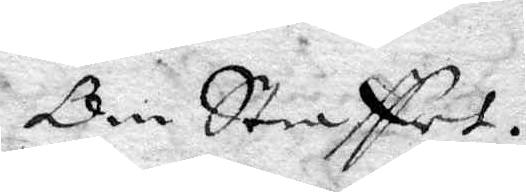Om Straffet.
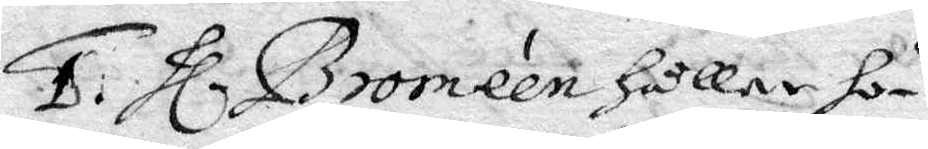1. hl. Broméen håller ho¬
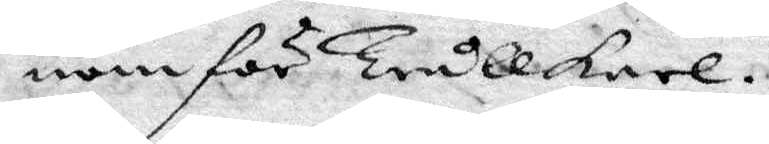nom för trullkarl.
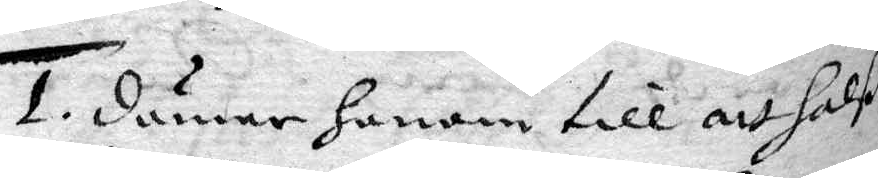1. dömer honom till att halß¬
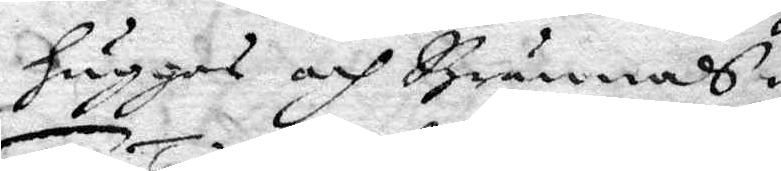huggas och Brännas.
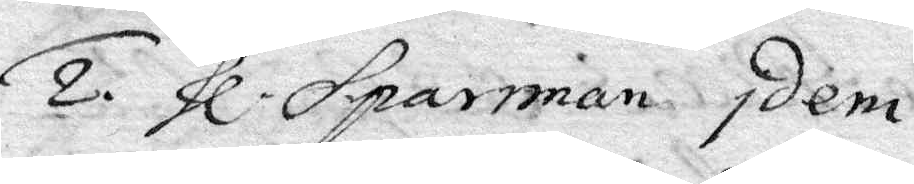2. hl. Sparrman Idem.
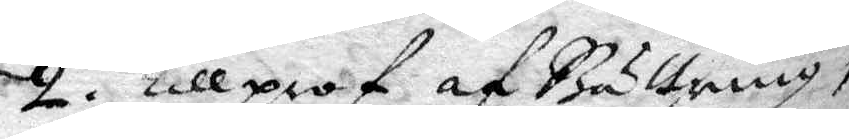2. Till prof af Bättring,
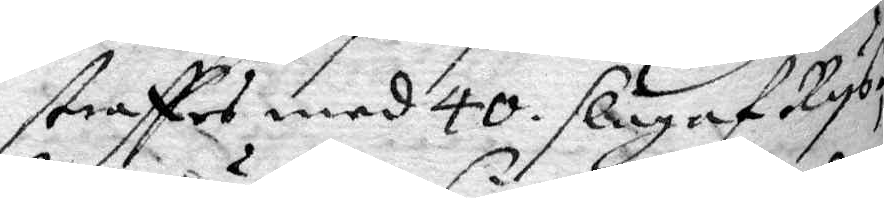straffes med 40 slag af Rys,
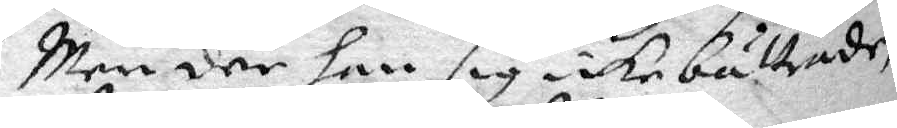Men där han sig icke bättrade,
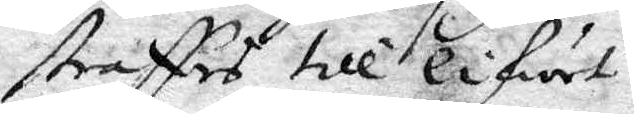straffes till lifwet.
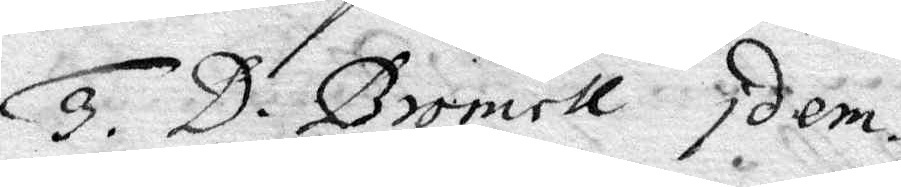3. D. Bromell Idem.
